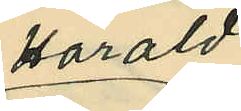Harald
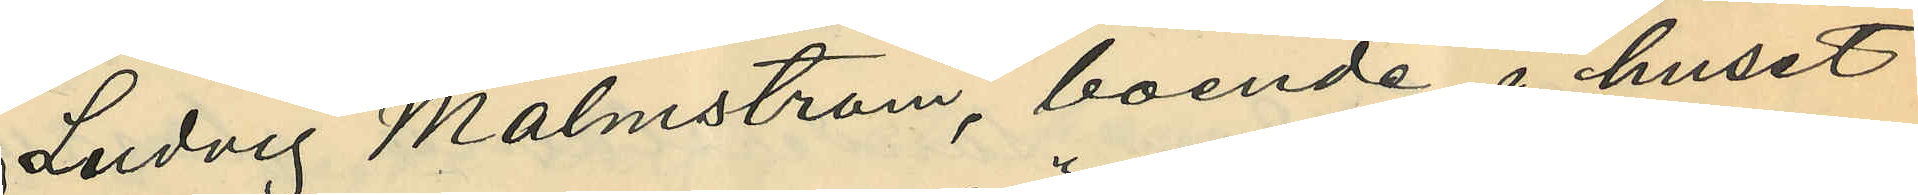Ludvig Malmström, boende i huset
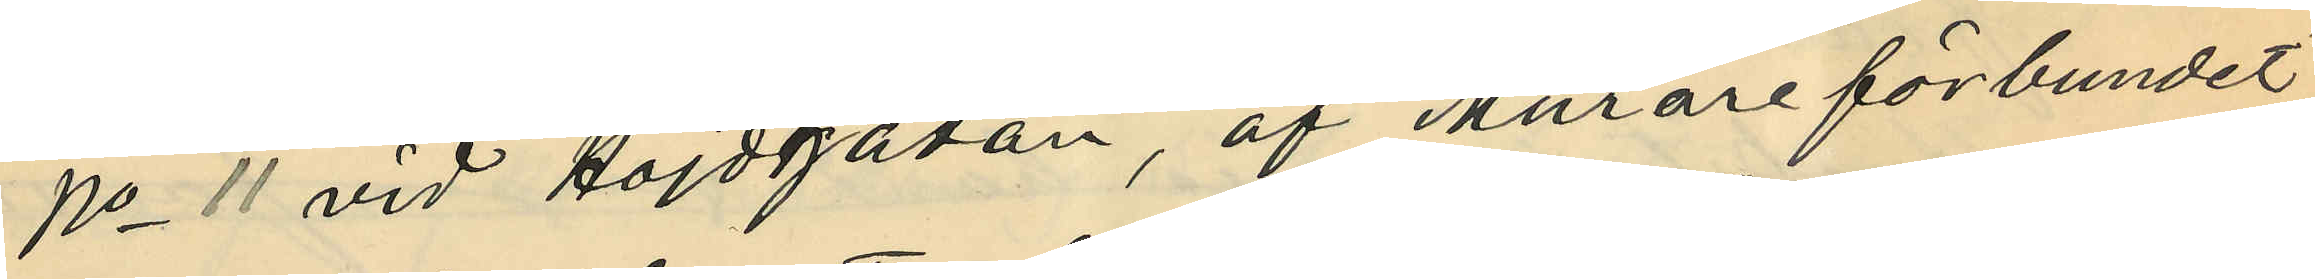No 11 vid Höjdgatan, af "Murareförbundet"
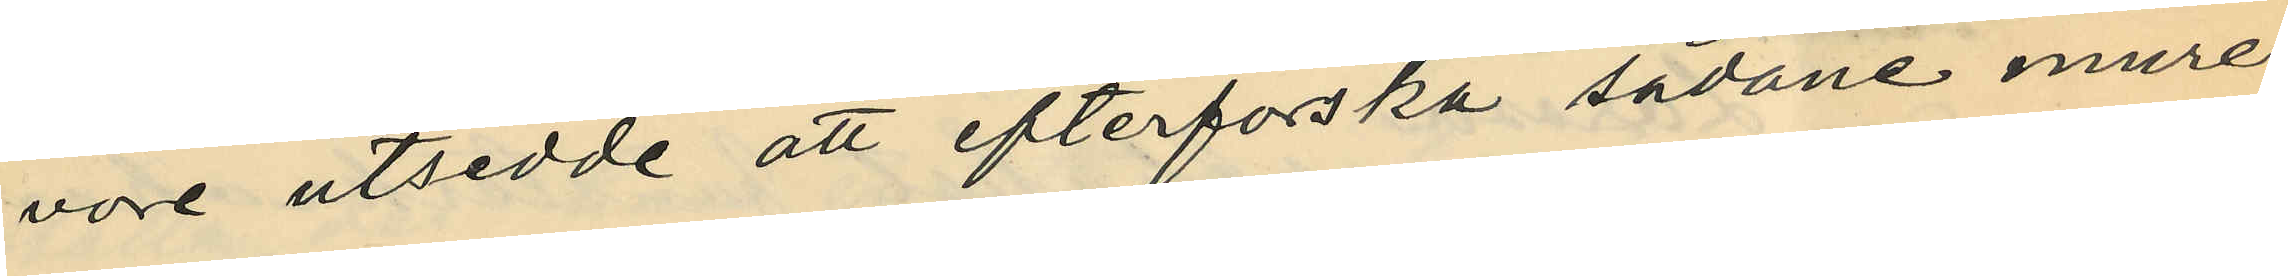vore utsedde att efterforska sådane mure¬
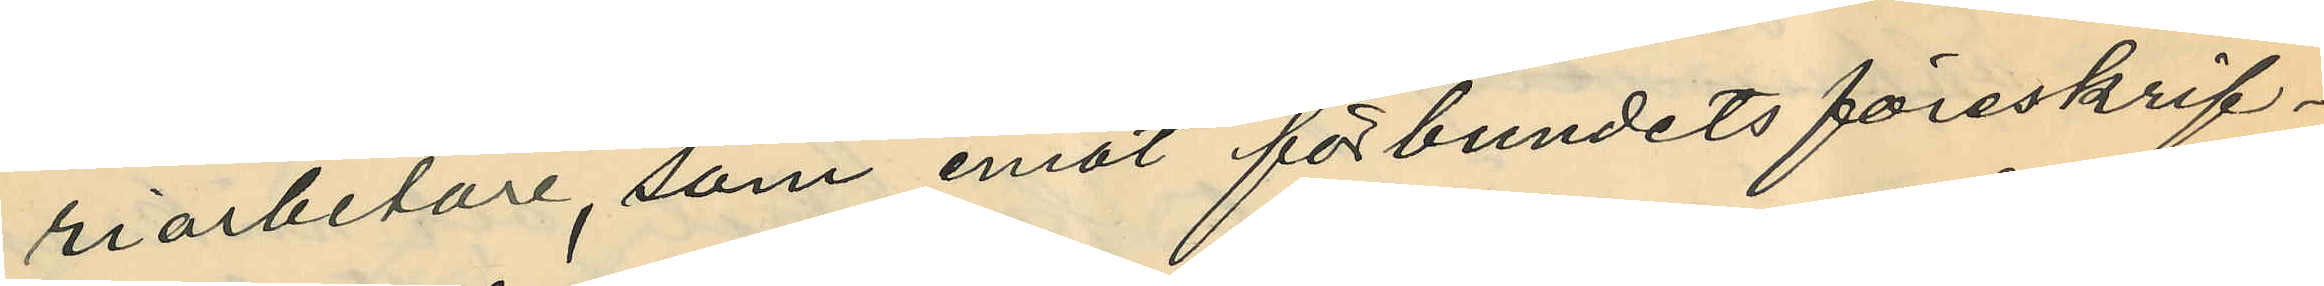riarbetare, som emot förbundets föreskrif¬
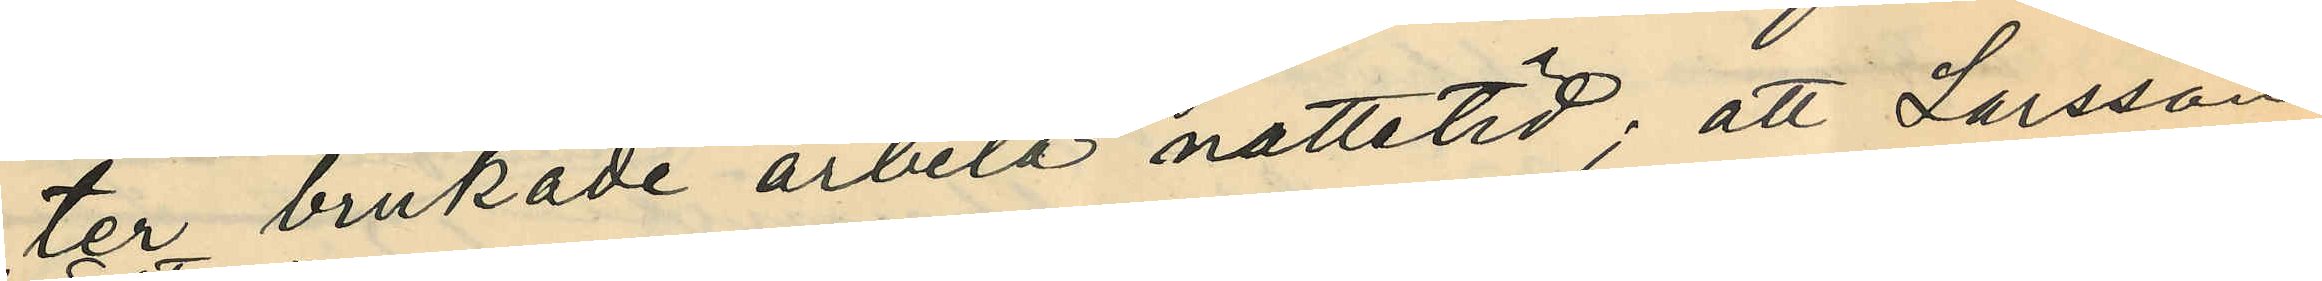ter brukade arbeta nattetid; att Larsson
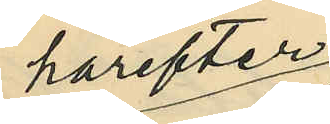härefter
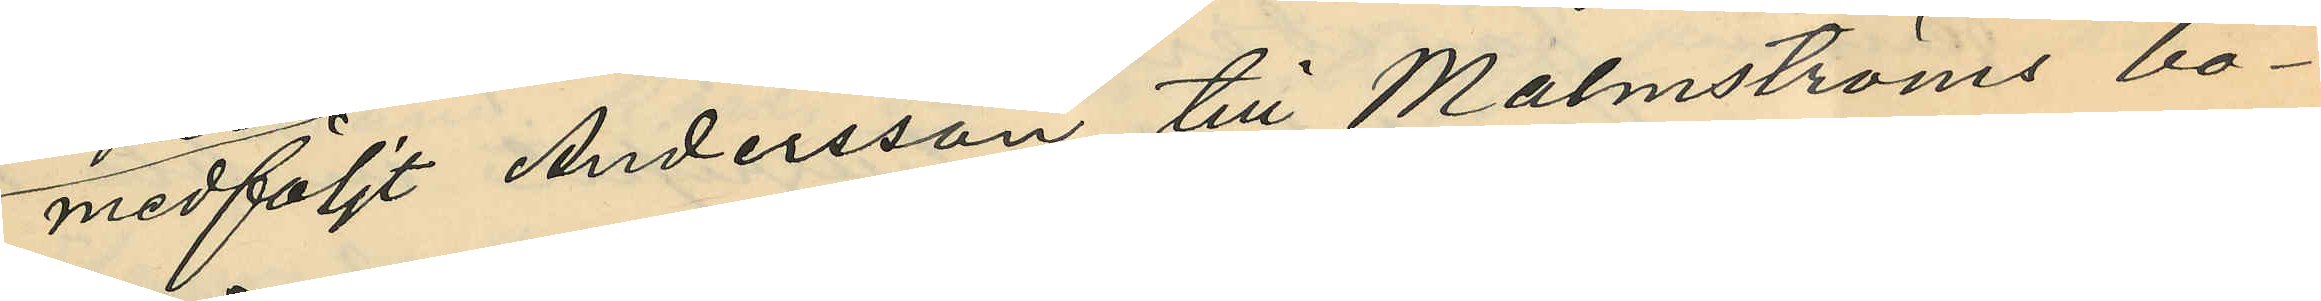medföljt Andersson till Malmströms bo¬
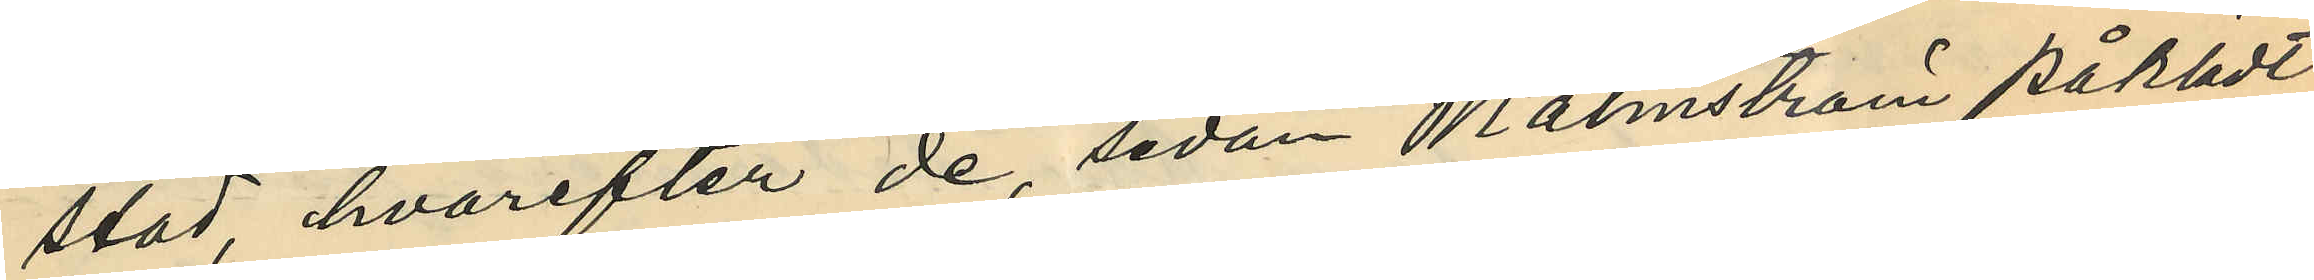stad, hvarefter de, sedan Malmström påklädt
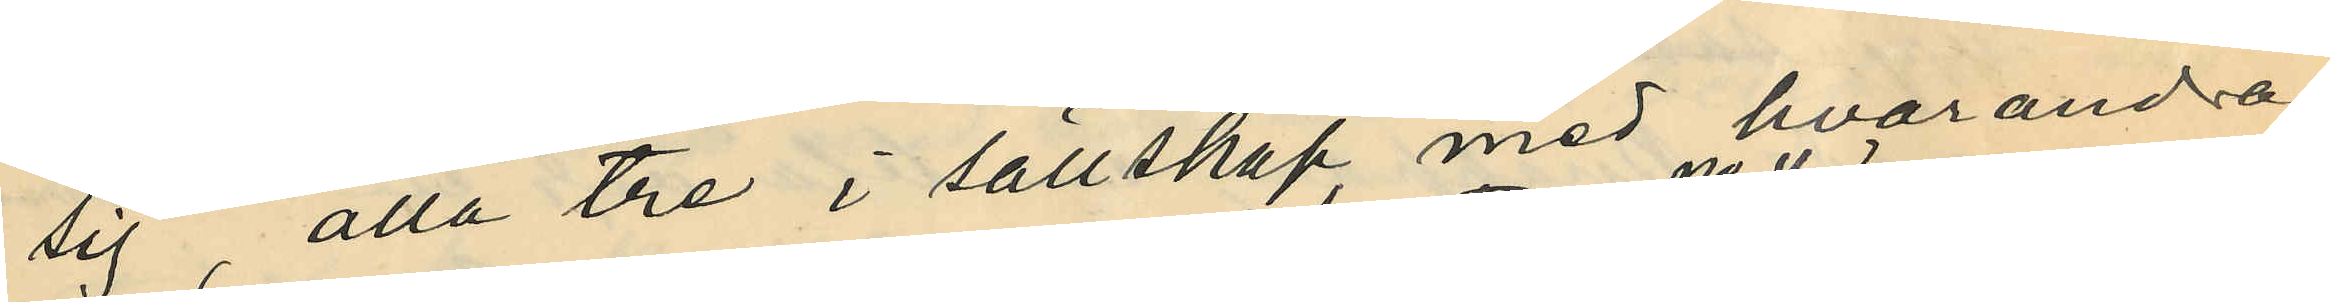sig, alla tre i sällskap med hvarandra
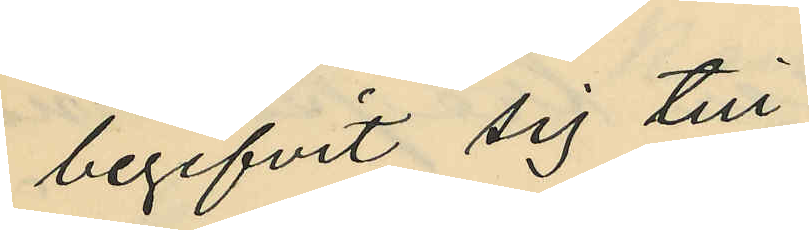begifvit sig till
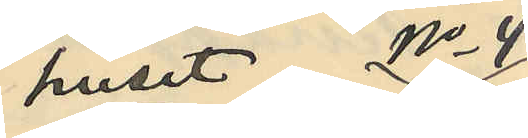huset No 4
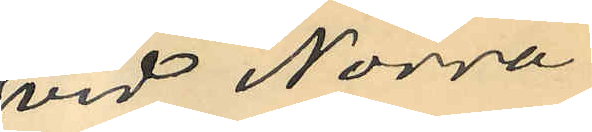vid Norra
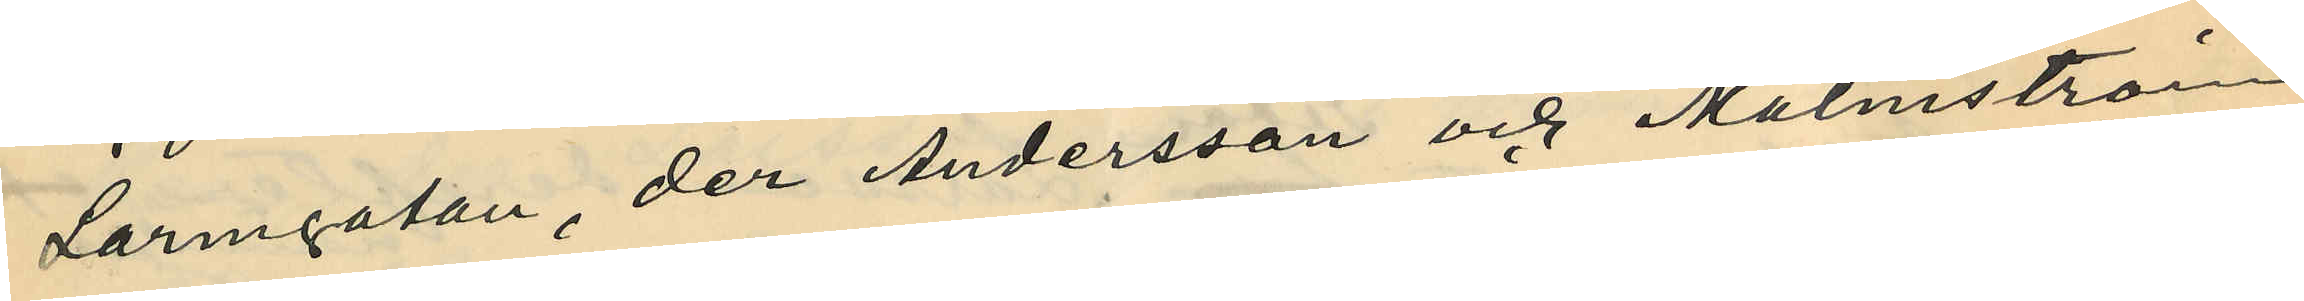Larmgatan, der Andersson och Malmström
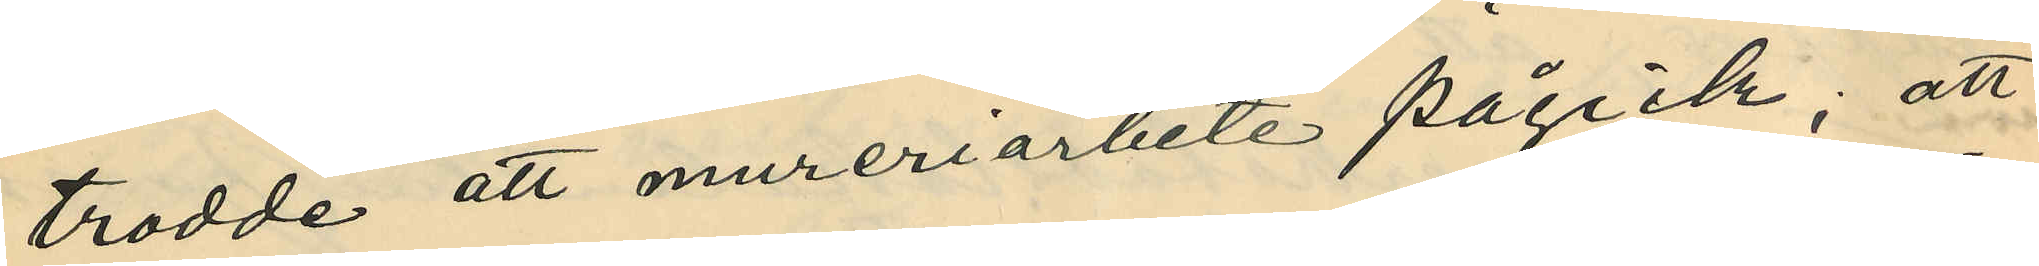trodde att mureriarbete pågick; att
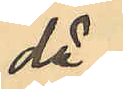då
